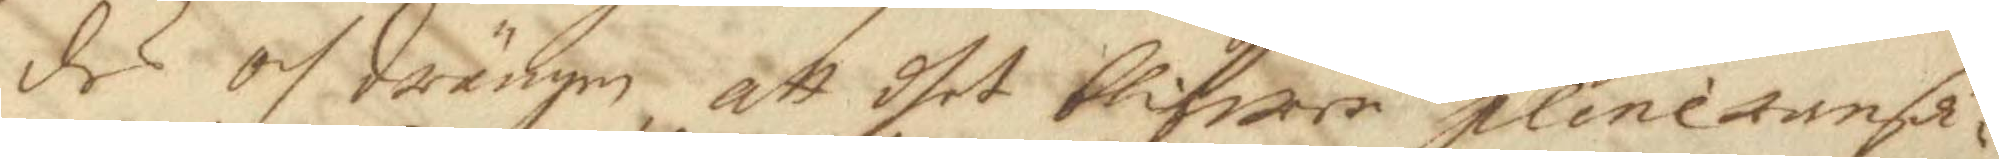des och Drängen att dhet blifwer plineransa¬
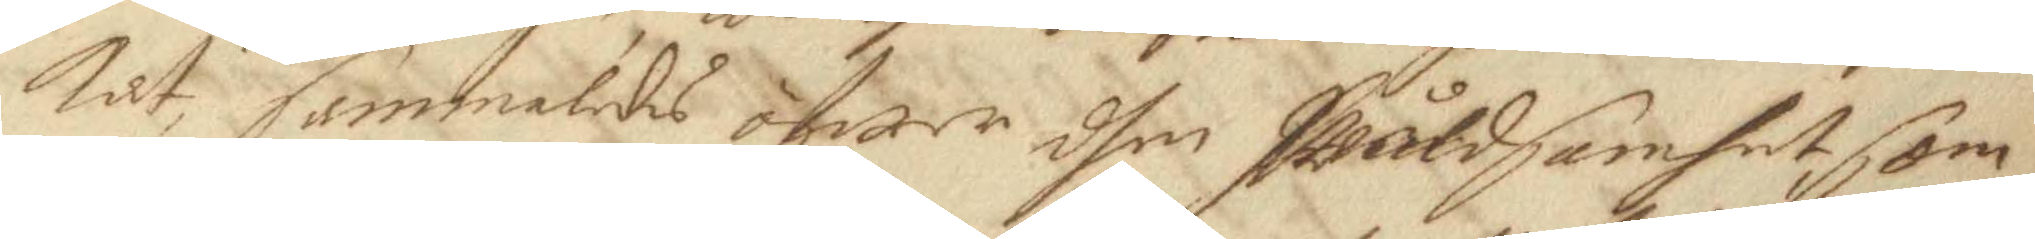kat, sammaledes öfwer dhen Wåldsamhet som
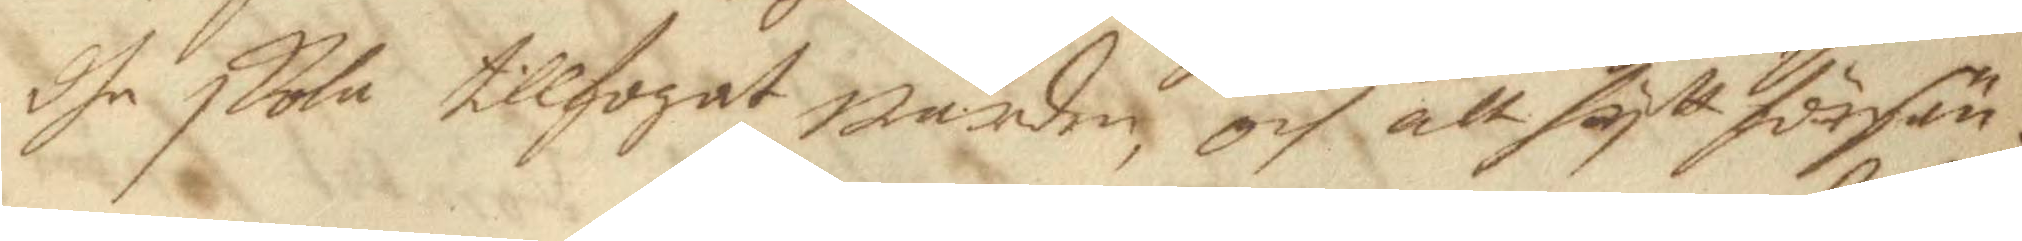dhe skola tillfogat werden, och att hytt försän¬
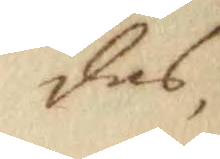des,
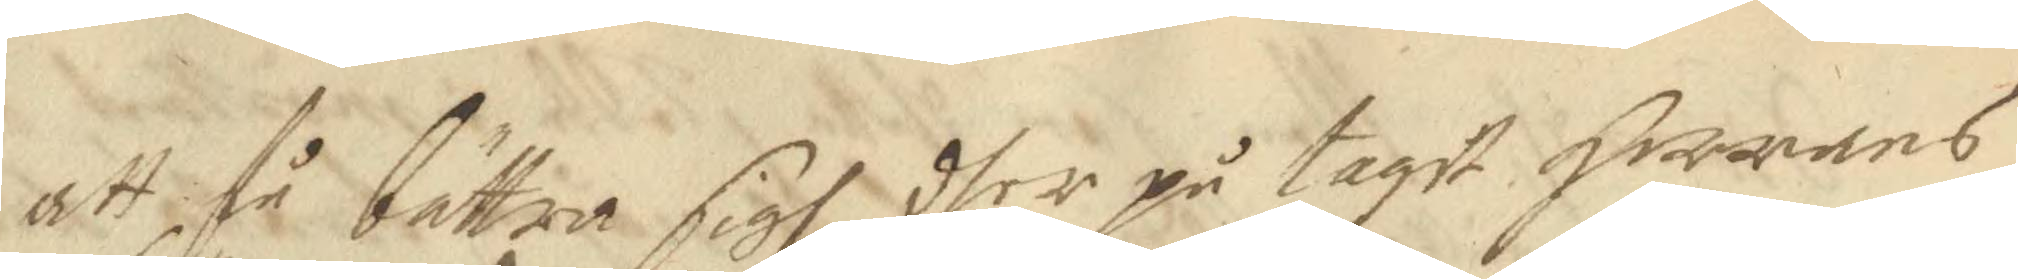att få bättra sigh dher på tagit Herrans
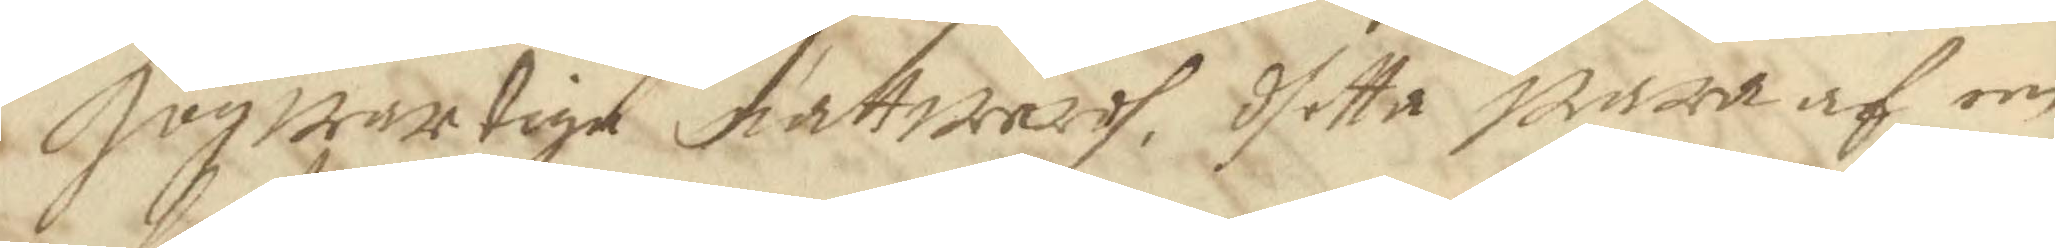Högwartige nattwardh, dhetta wara af en
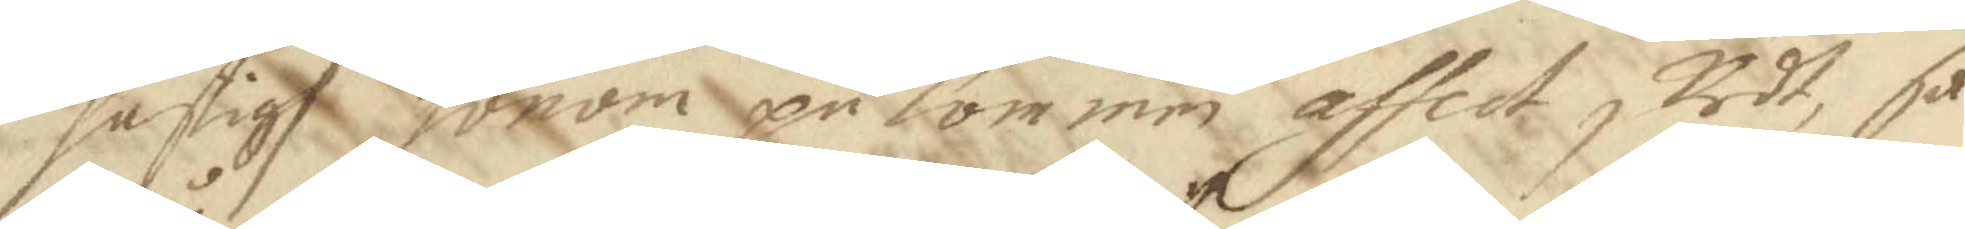hastigh honom på kommen affect skedt, så
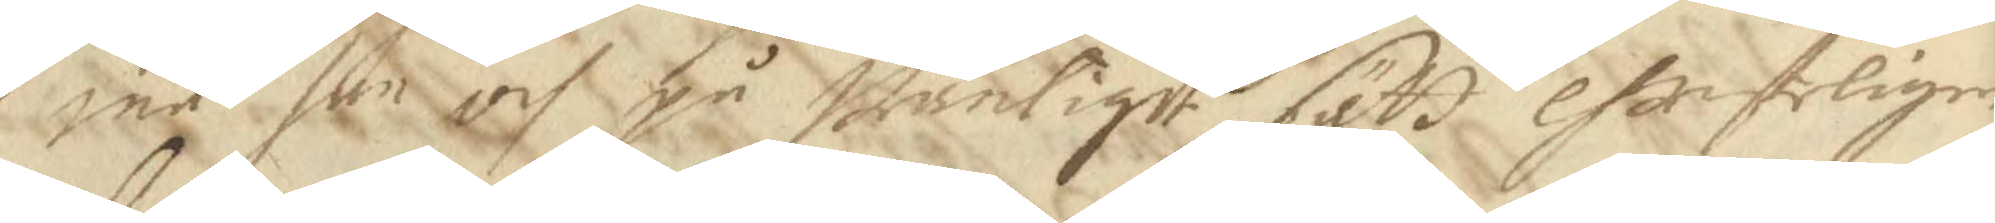må hon och på wanligit sätt christeligen
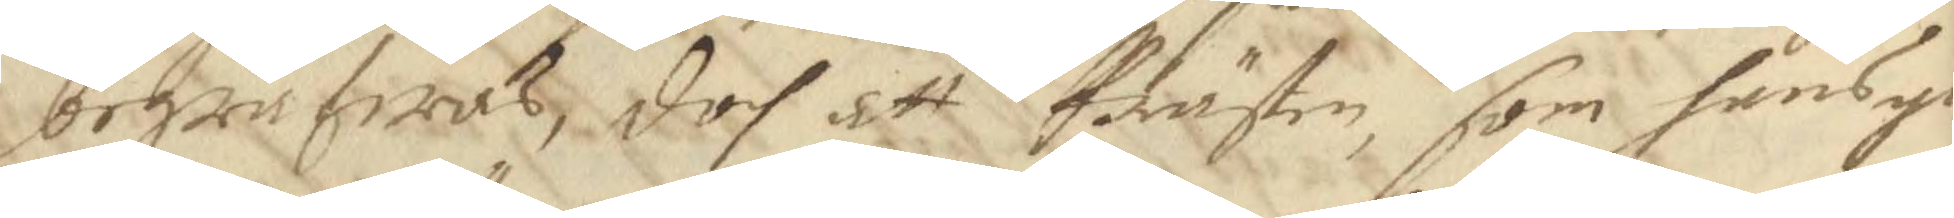begrafwas, doch att Prästen, som hans yn
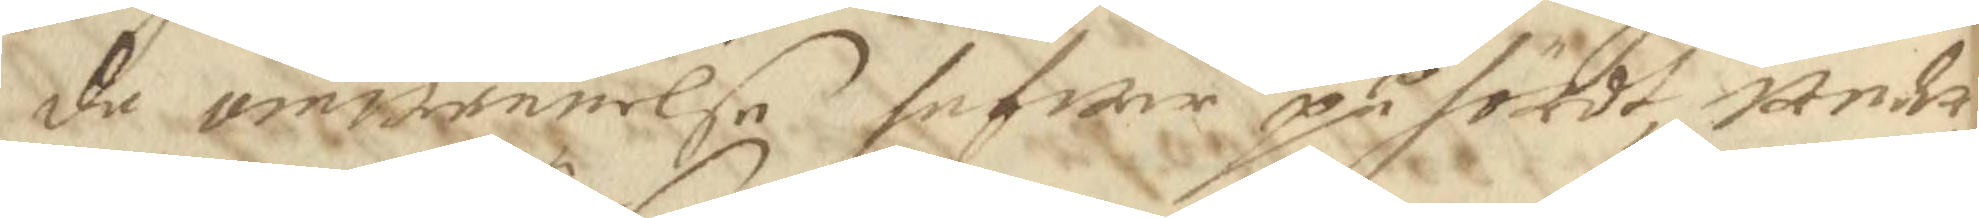de omwännelse hafwer på hördt, under¬
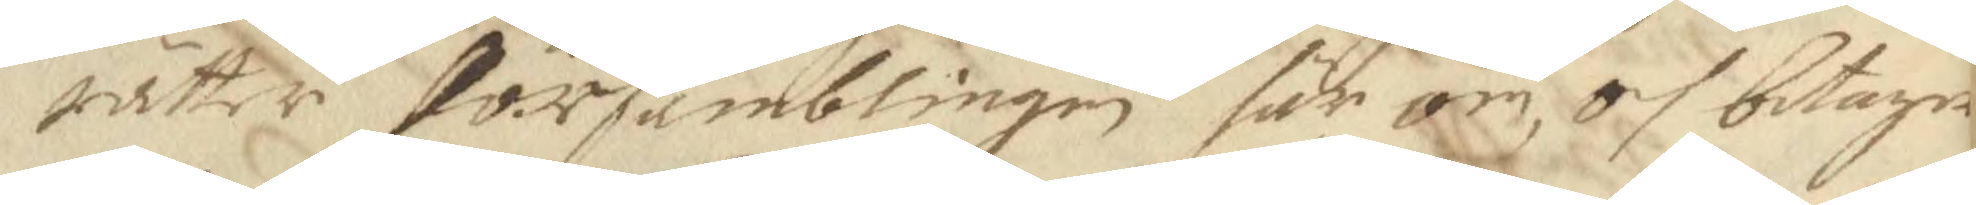rätter församblingen här om och betager
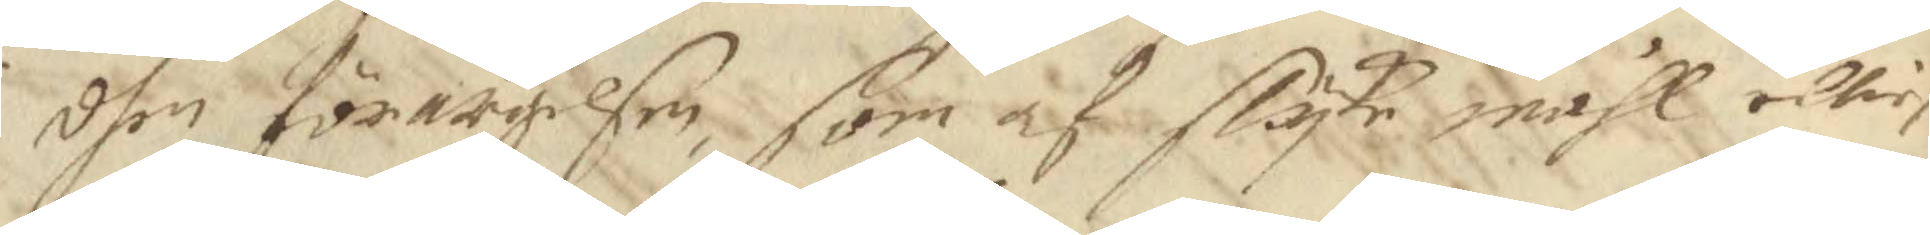dhen förargelsen, som af slyke måhl elliest
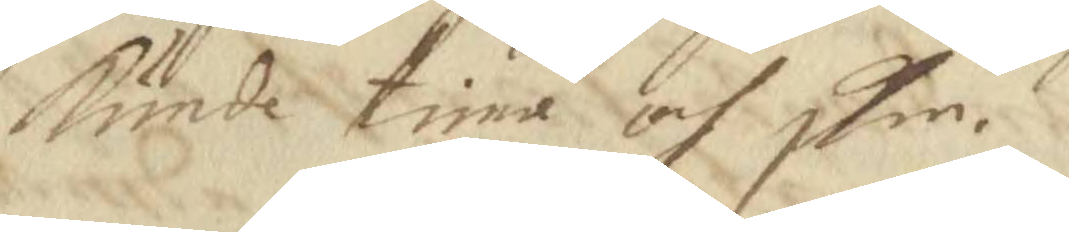kunde tima och skie.
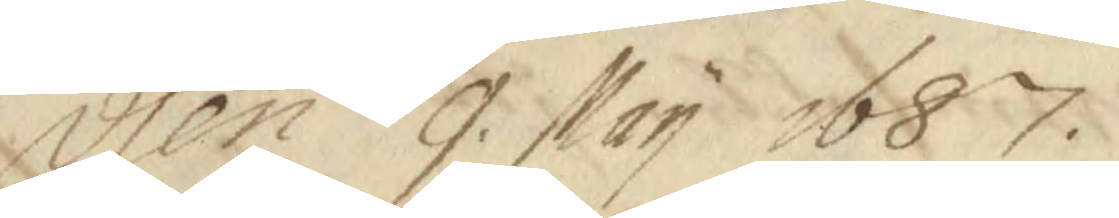den 9 May 1687.
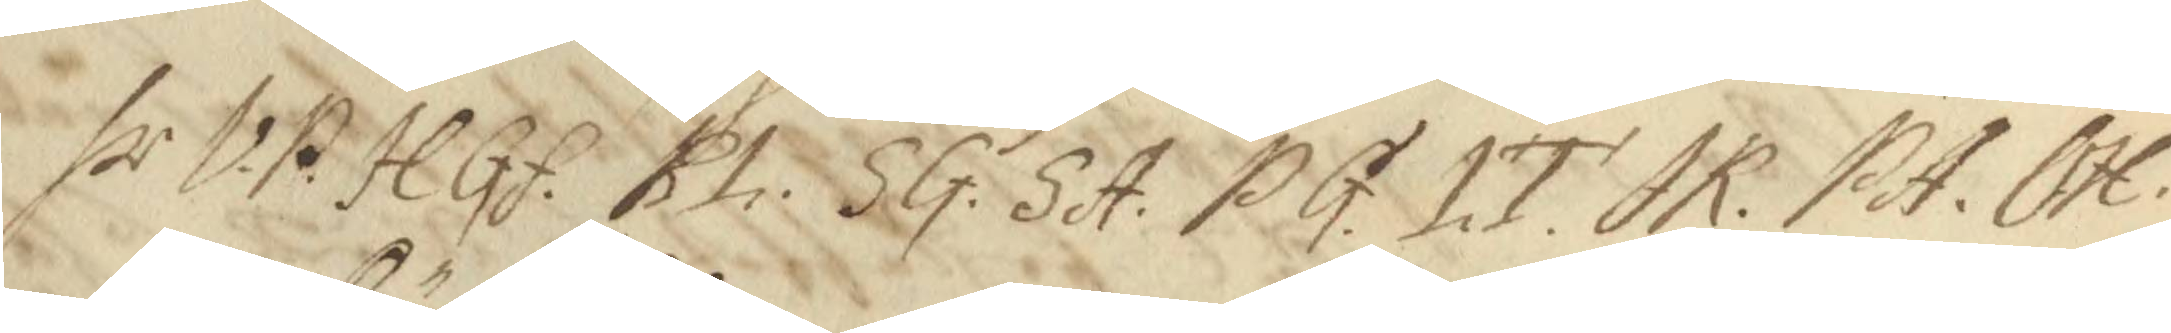hr. VP. HGf. BL. SG. SA. PG. LT. AK. PA. OH. 
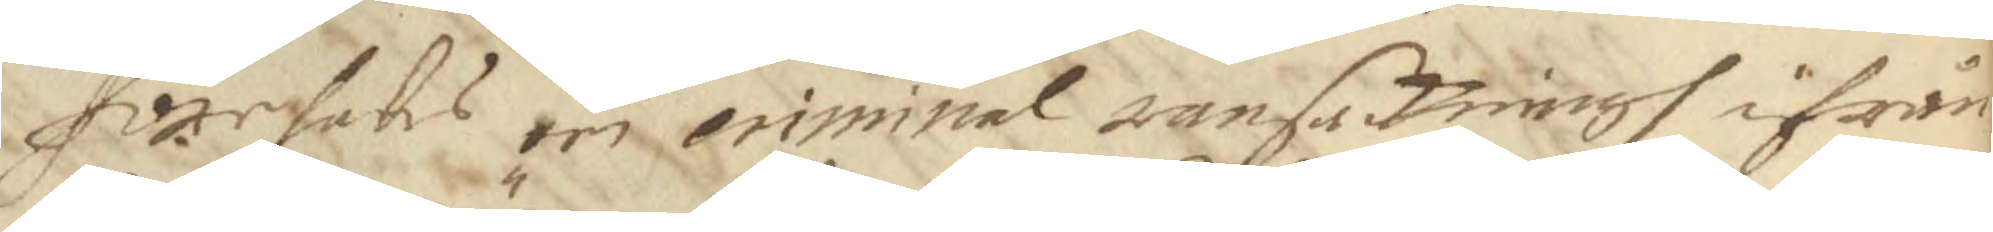Förehads een criminal ransakningh ifrån
